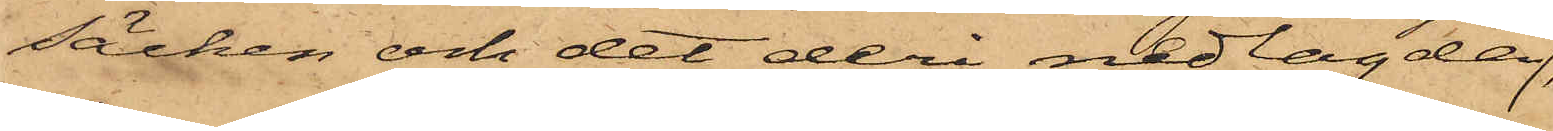säcken och det deri nedlagda
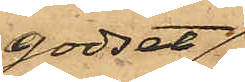godset,
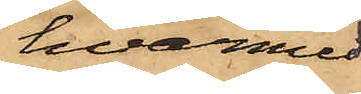hvarmed
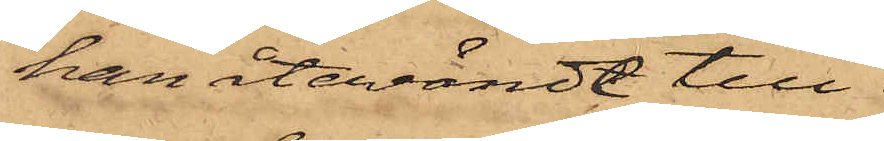han återvändt till
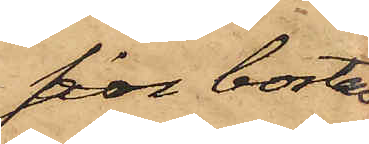sin bostad,
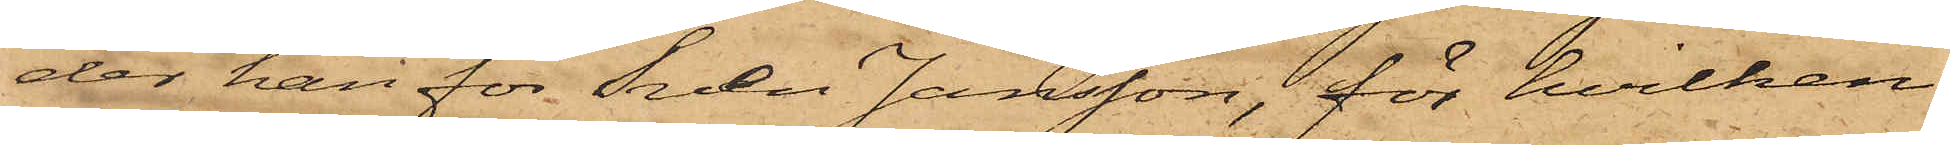der han för Sven Jansson, för hvilken
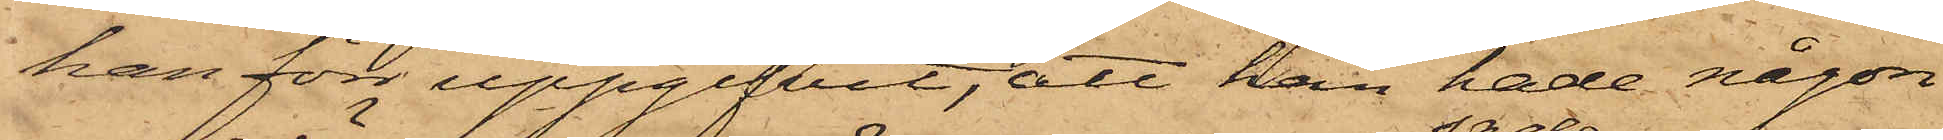han förr uppgifvit; att han hade någon
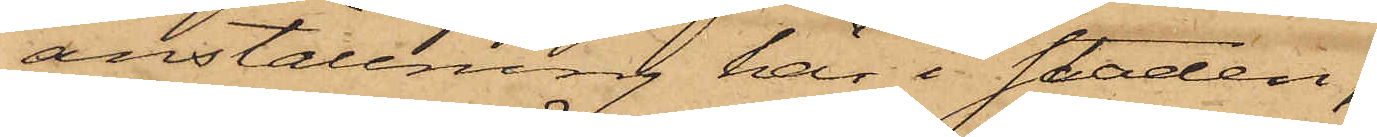anställning här i staden,
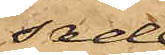sade
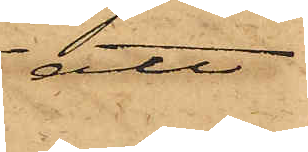att
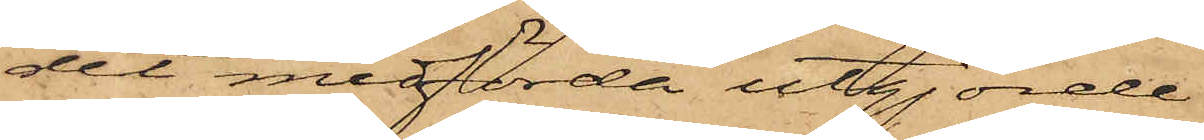det medförda utgjorde
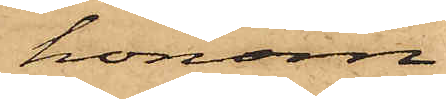honom
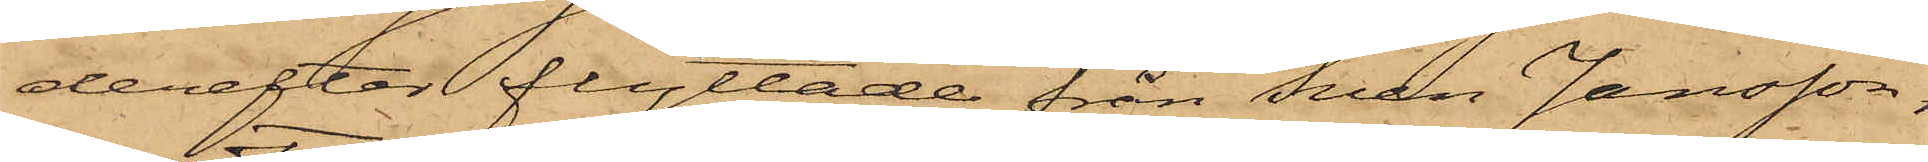derefter flyttade från Sven Jansson,
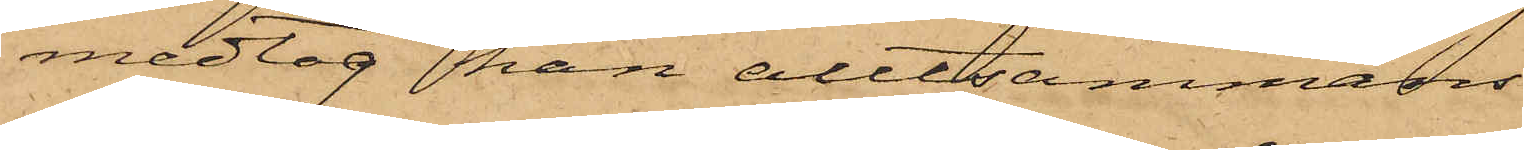medtog han alltsammans
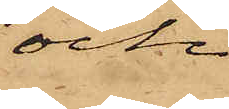och
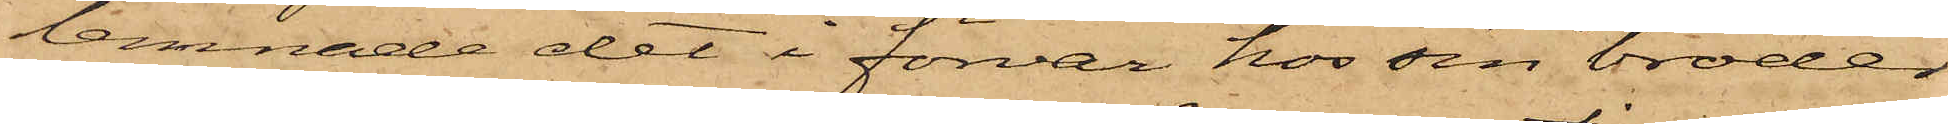lemnade det i förvar hos sin broder
